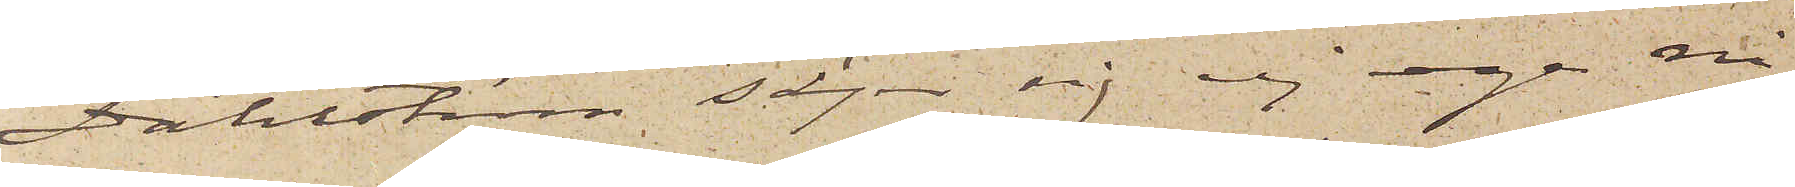Dahlström säger sig ej ega någ¬
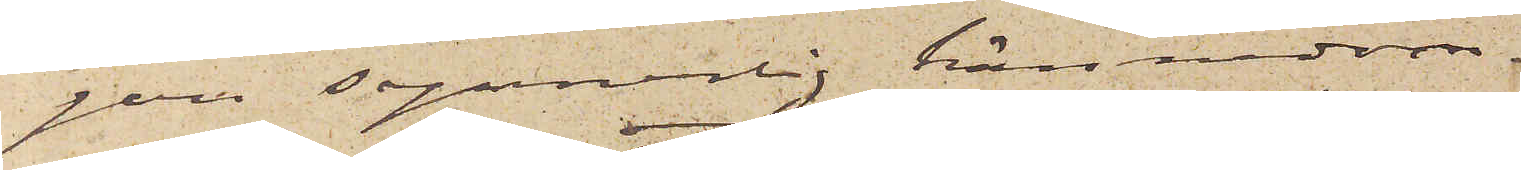gon synnerlig kännedom.
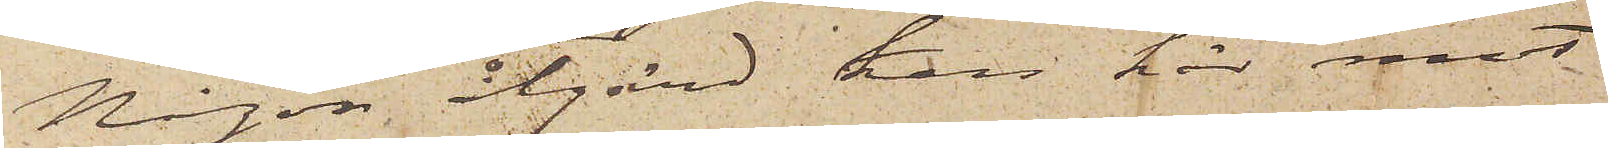Någon åtgärd kan här mot
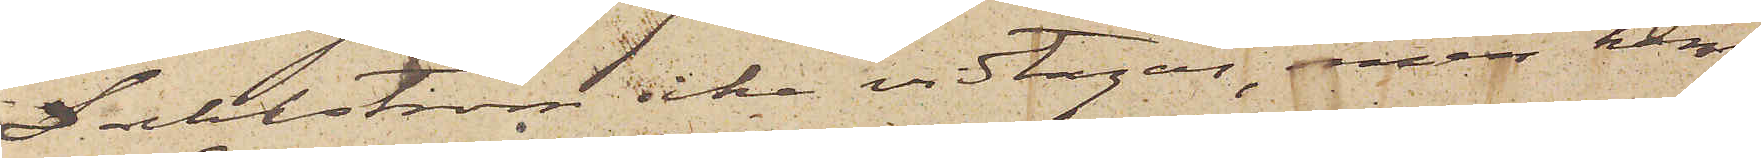Dahlström icke vidtagas, men hem¬
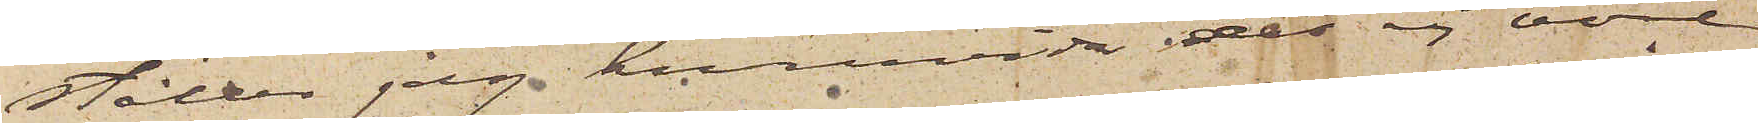ställer jag huruvida det ej vore
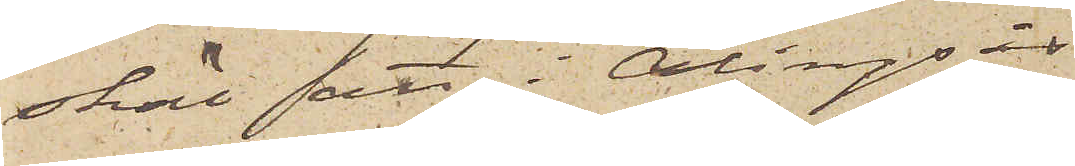skäl att i Alingsås
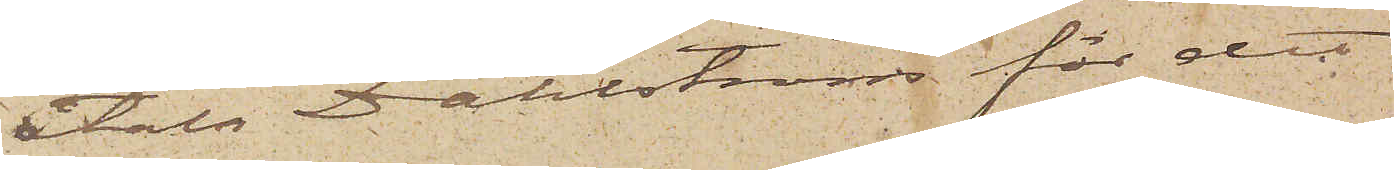åtala Dahlström för det
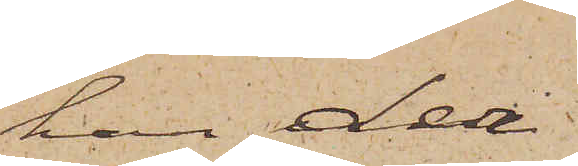han der
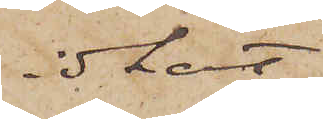idkat
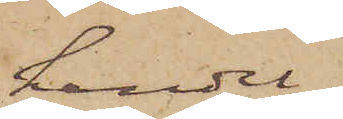handel,
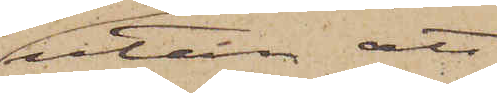utan att
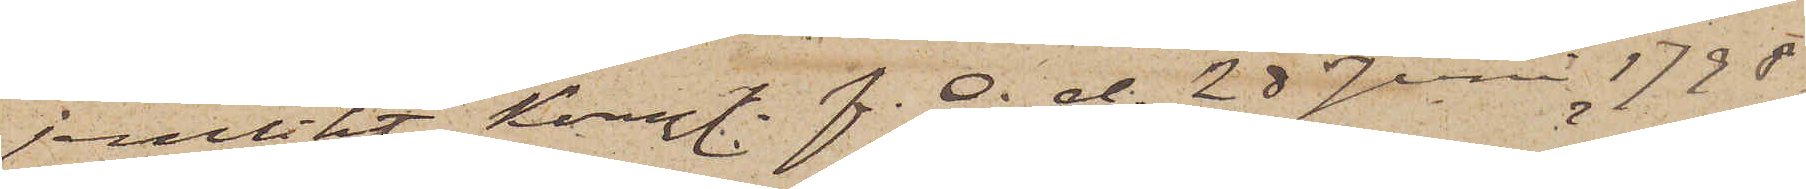jemlikt Kongl. F. O. d. 28 Juni 1798
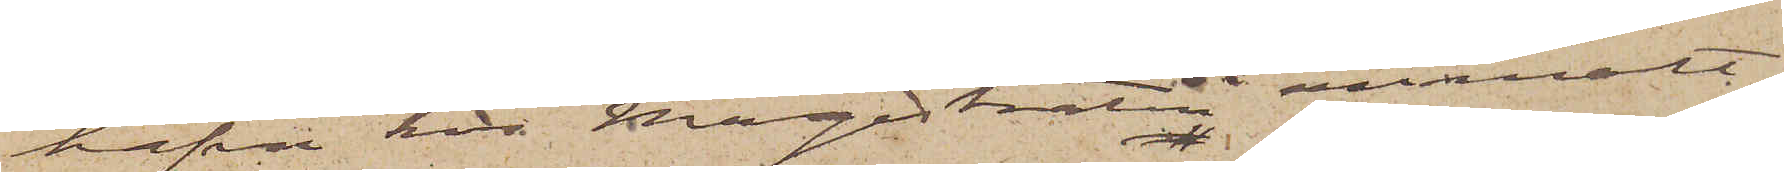hafva hos Magistraten anmält
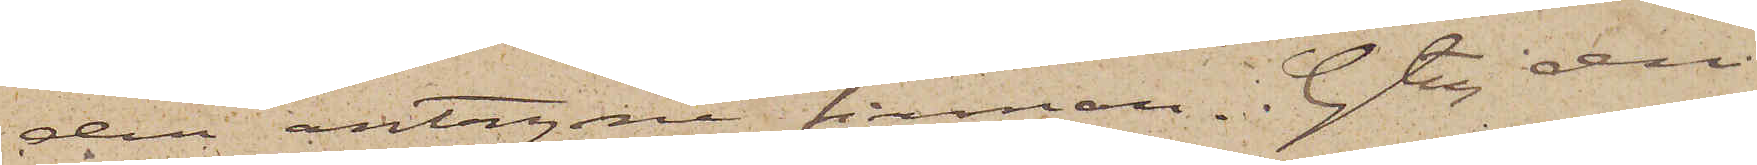den antagne firman. Gtbg den
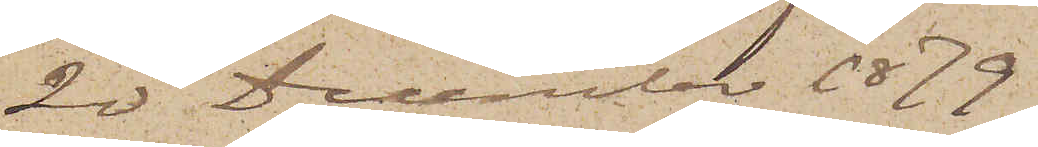20 December 1879.
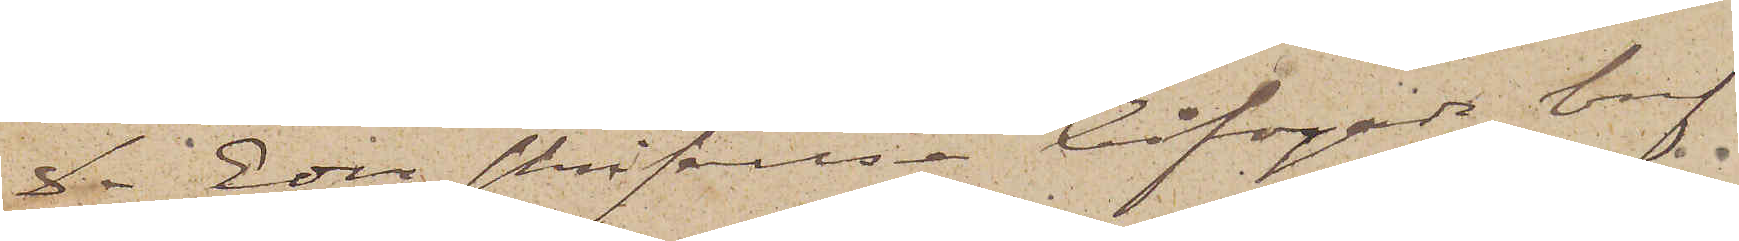De Eder skrifvelse bifogade bref
